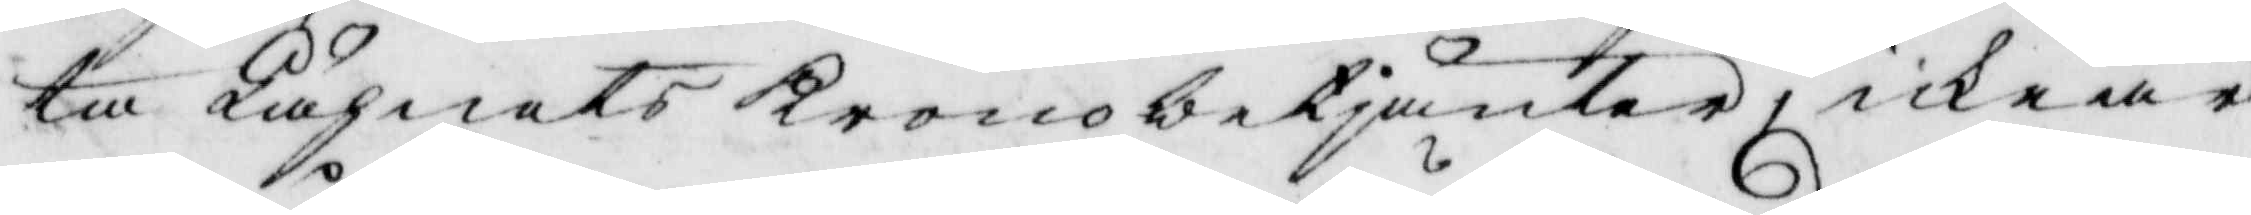ta Lähnets Kronobetjänter, icke är
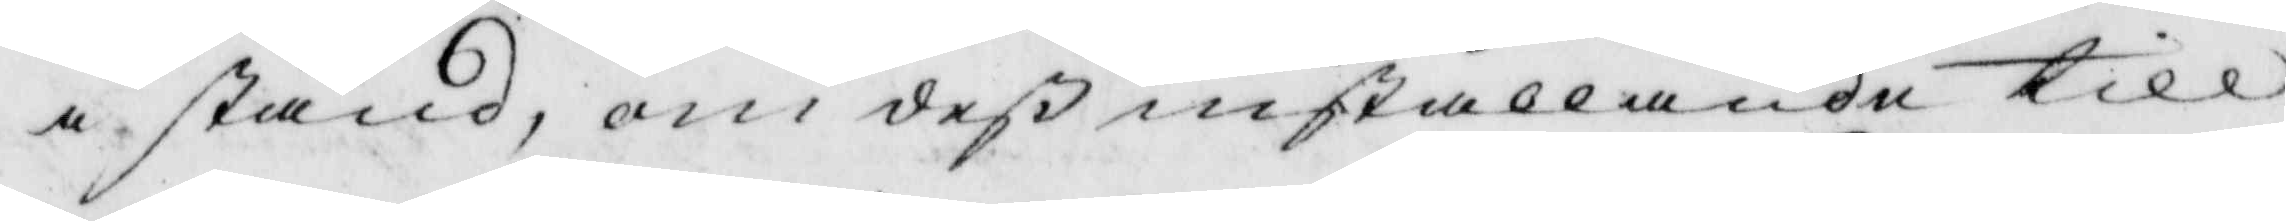i stånd, om deß inställande till
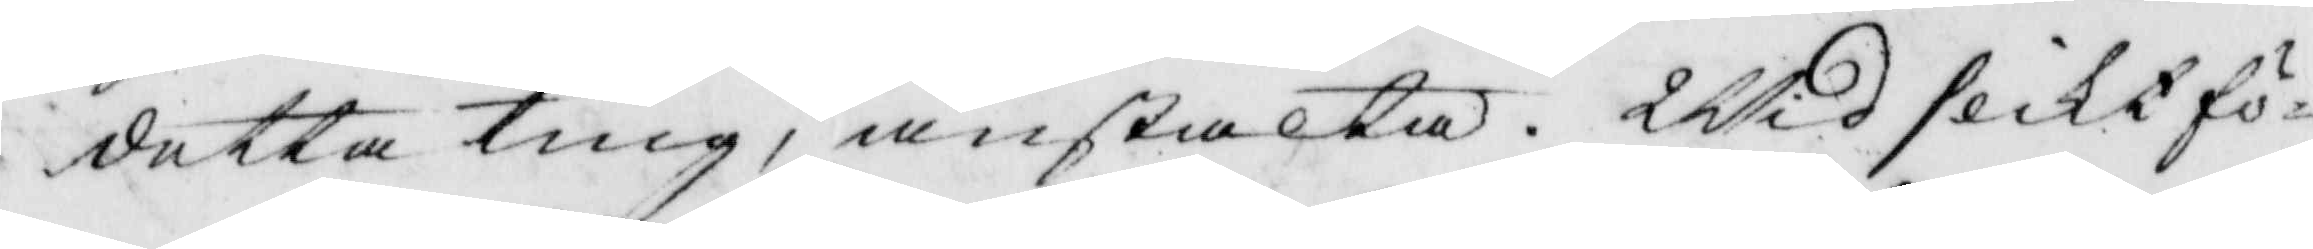detta ting, anstalta. Wid slikt fö¬
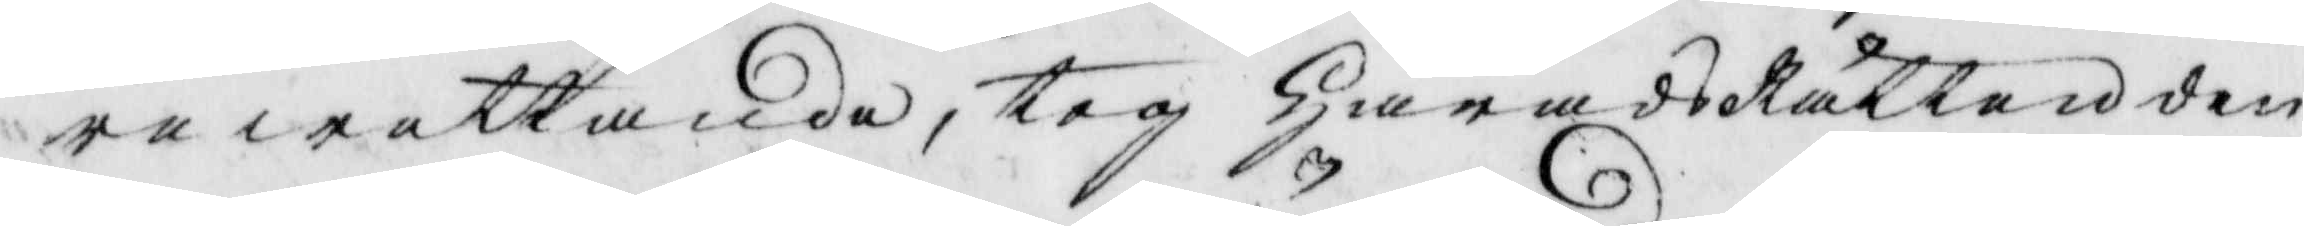rewettande, tog HäradzRätten den
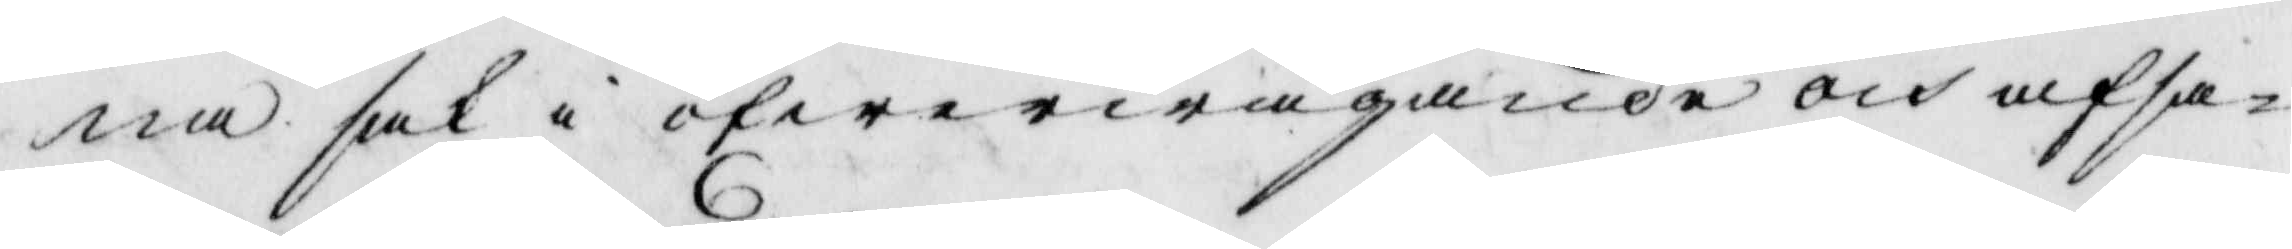na sak i öfwerwägande och afsa¬
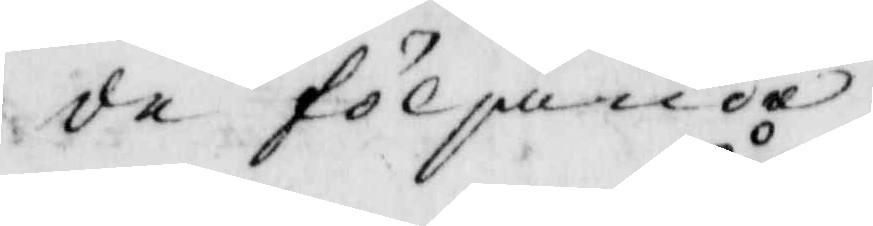de följande
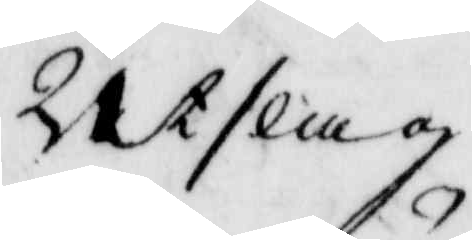Utslag
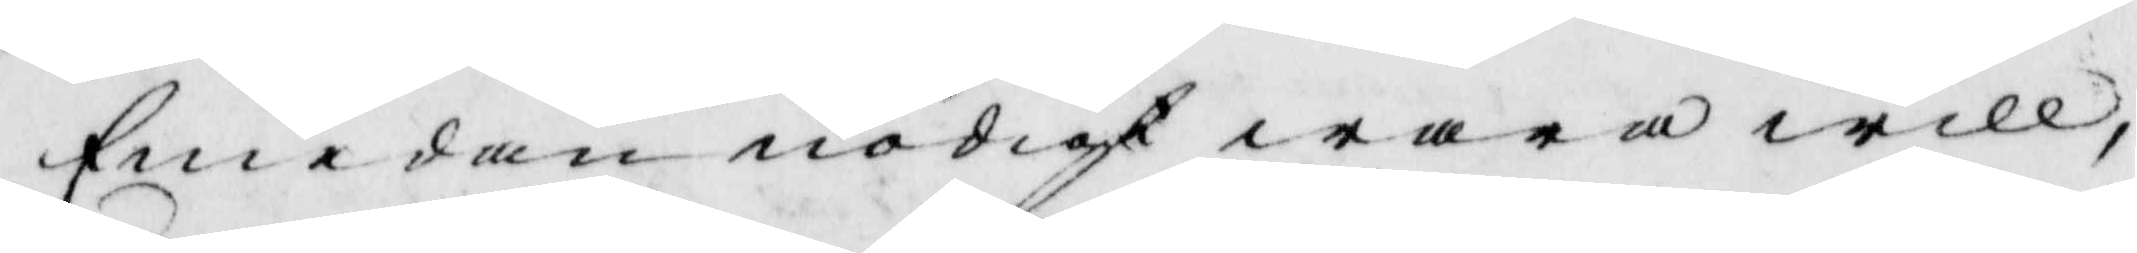Emedan nödigt wara will,
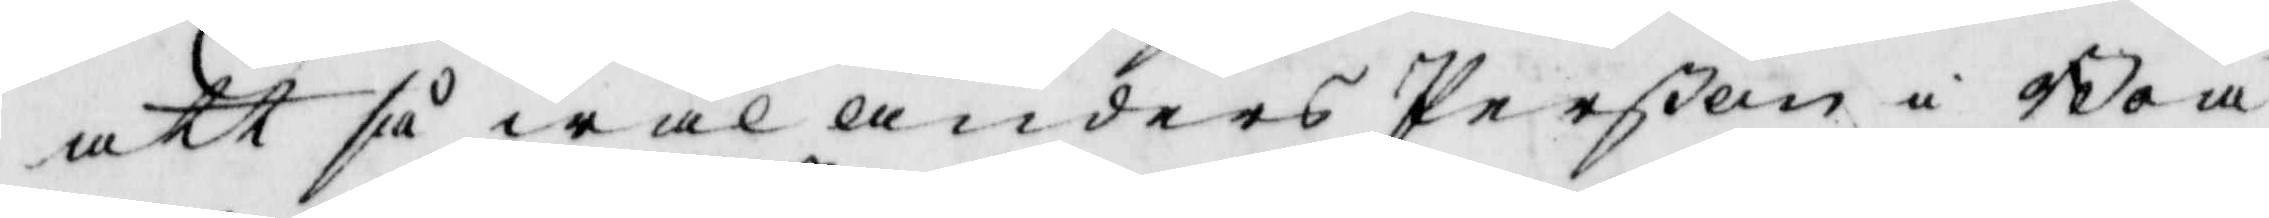att så wäl Anders Perßon i Boa
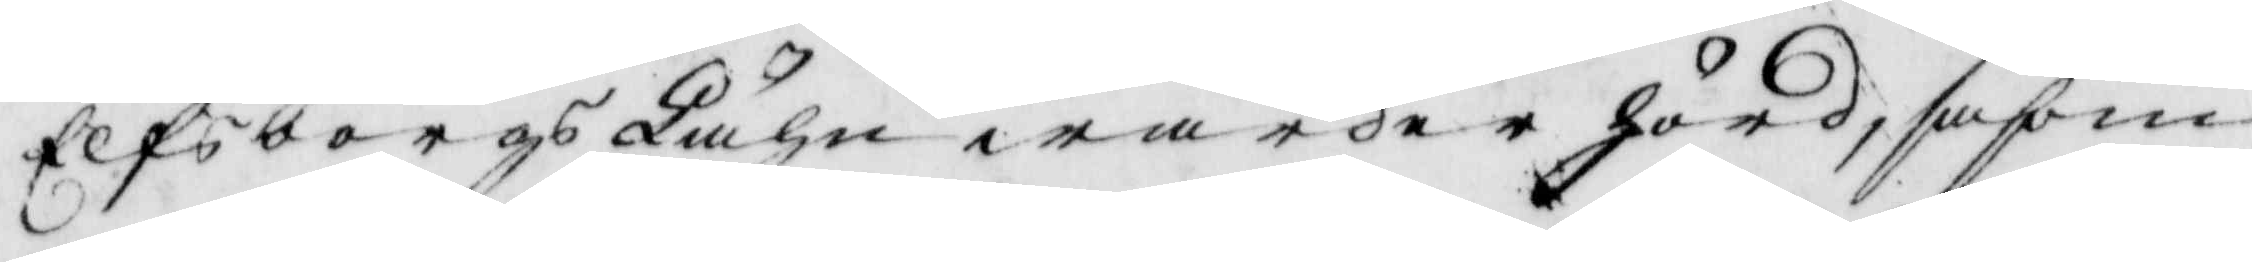Elfsborgs Lähn warder hörd, såsom
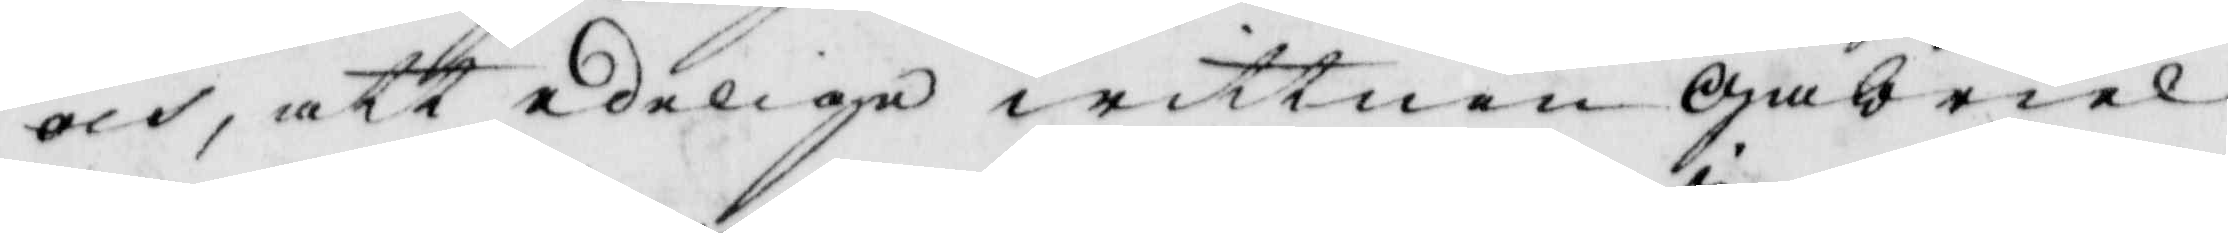och, att edelige wittnen Gabriel¬
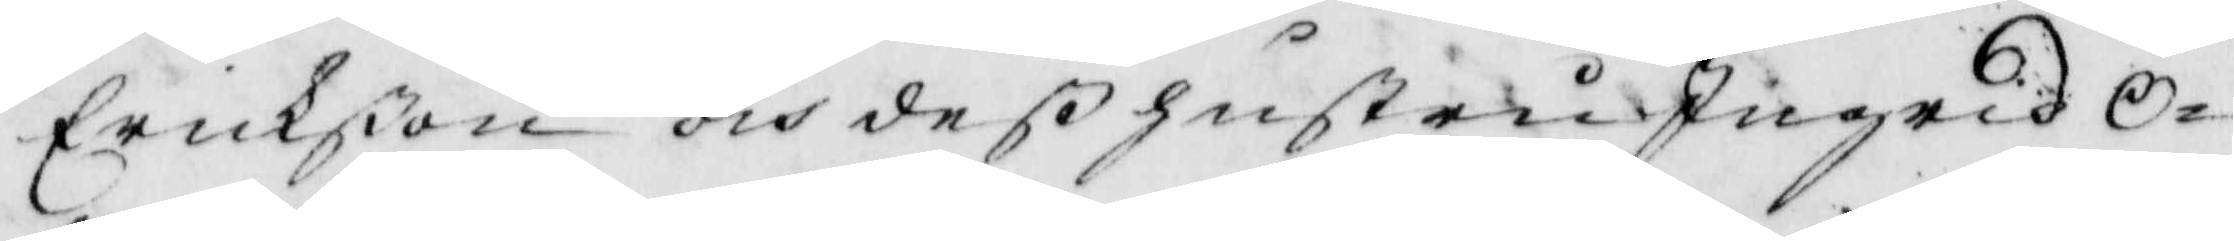Erikßon och deß hustru Ingrid O¬
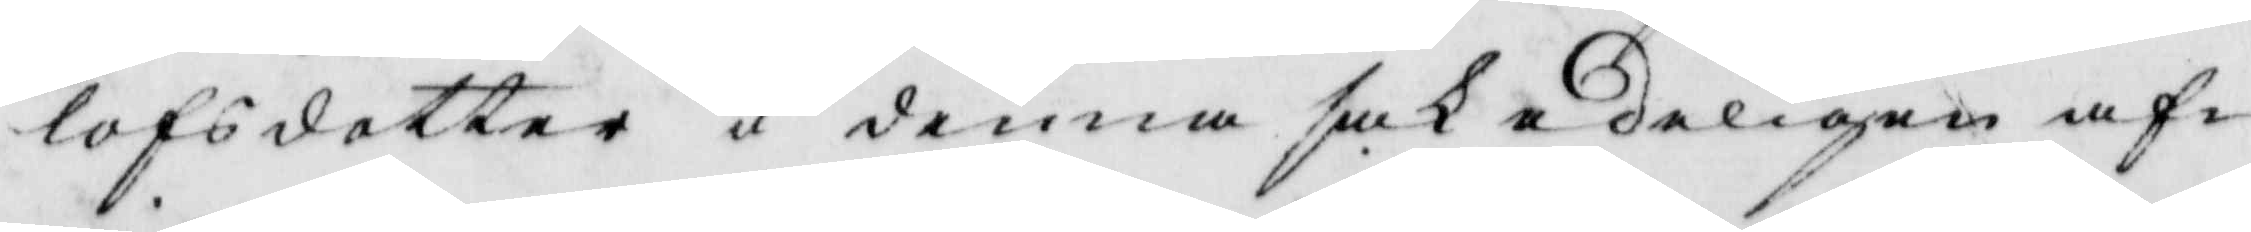lofsdotter i denna sak edeligen af¬
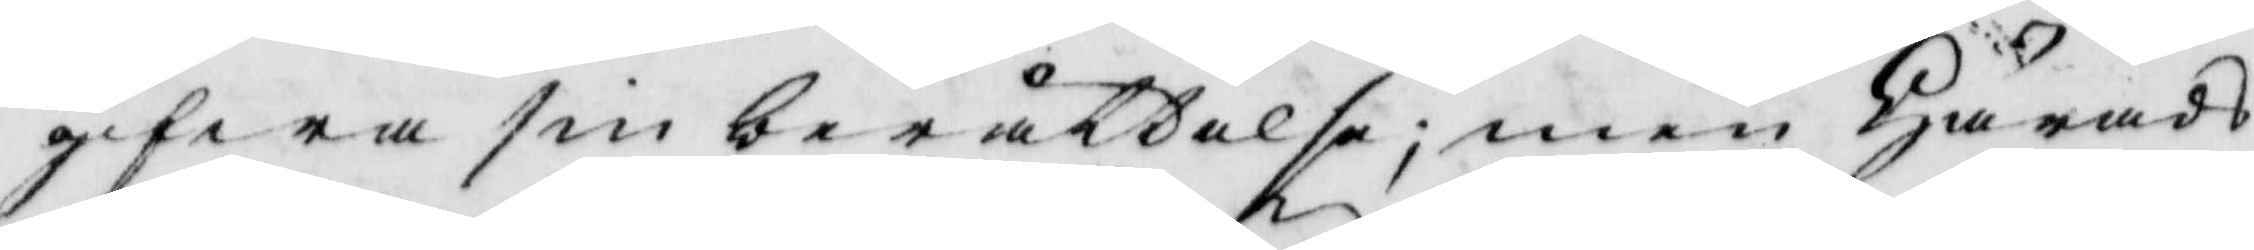gifwa sin berättelse; men Härads¬
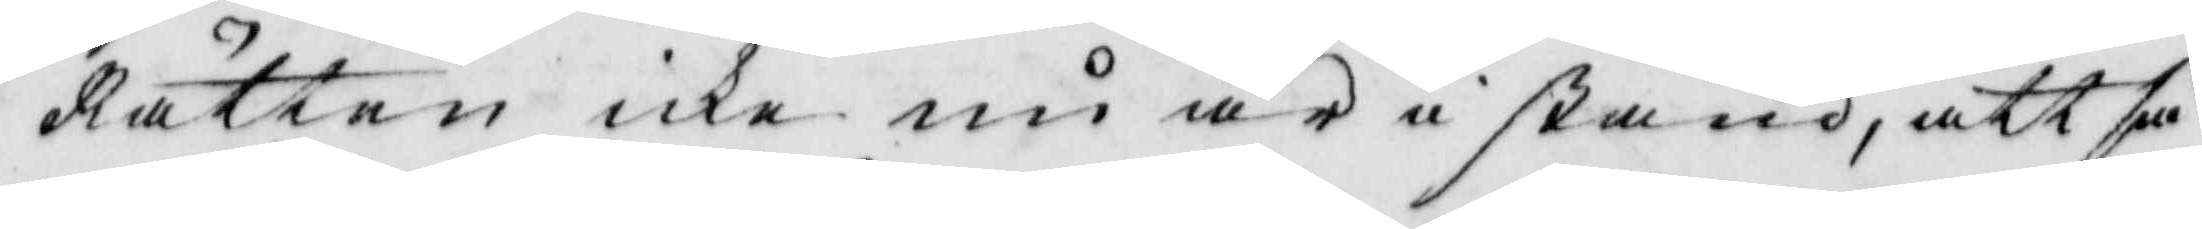Rätten icke nu är istånd, att så
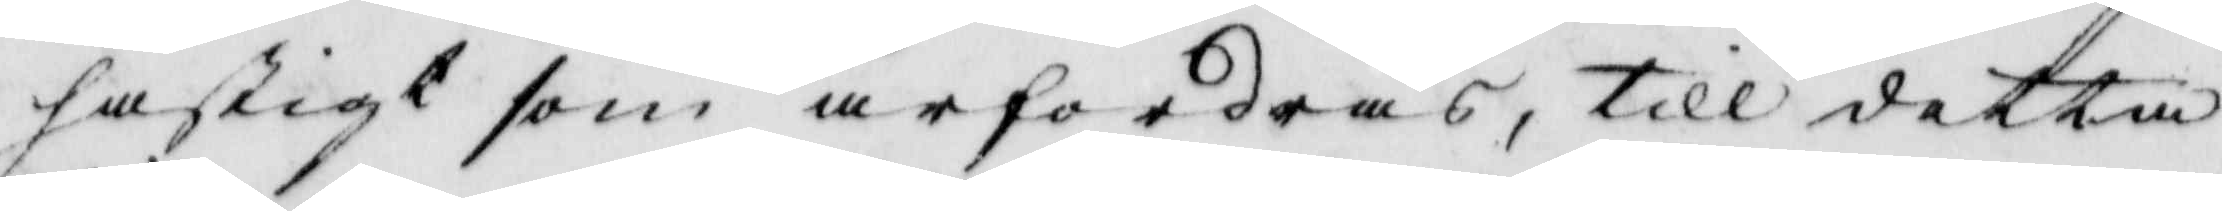hastigt som ärfordras, till detta
